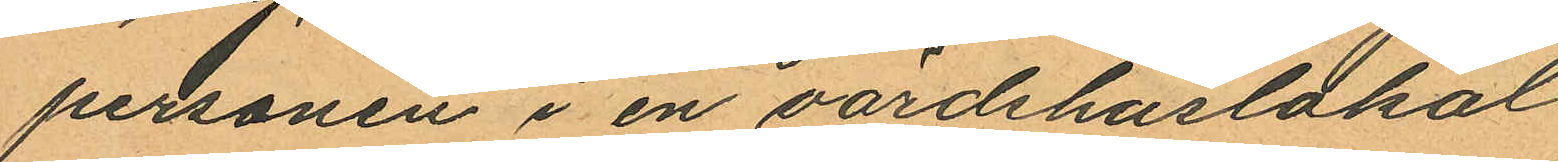personen i en värdshuslokal
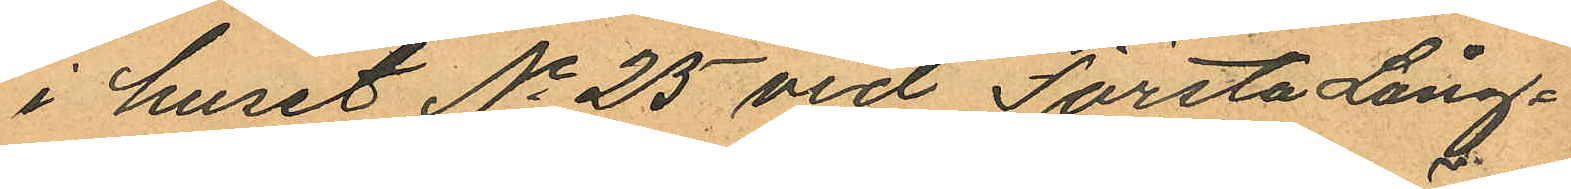i huset No 25 vid Första Lång¬
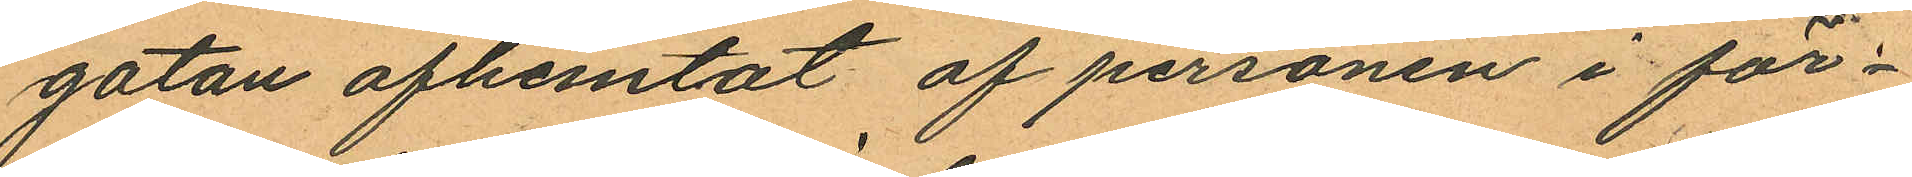gatan afhemtat af personen i för¬
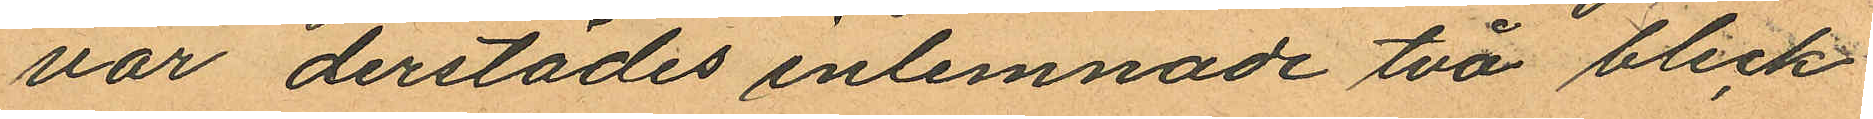var derstädes inlemnade två bleck
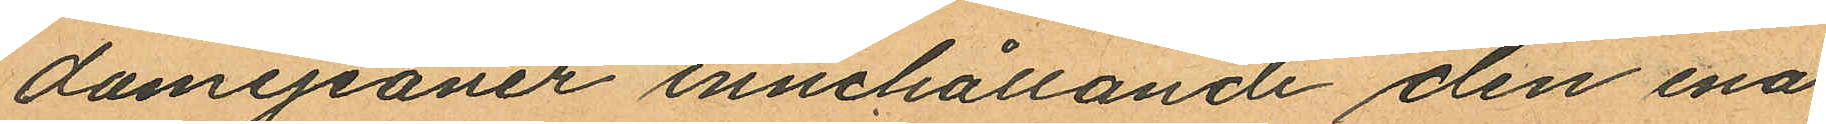damejeaner innehållande den ena
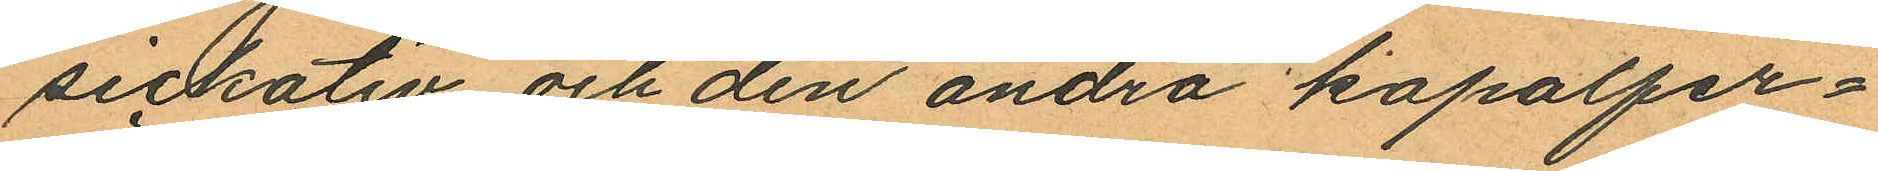sickativ och den andra kapalfer¬
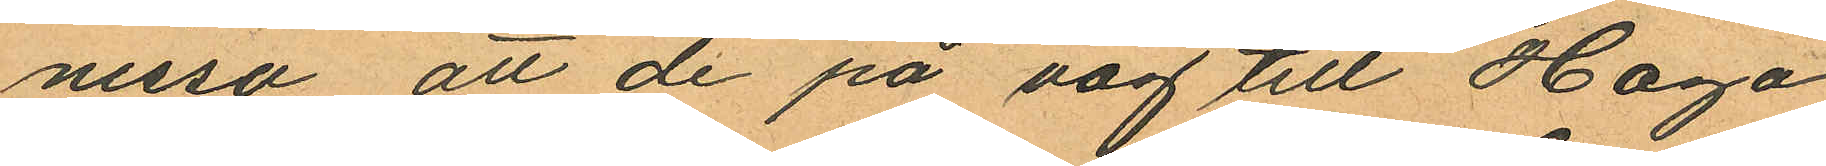nissa att de på väg till Haga
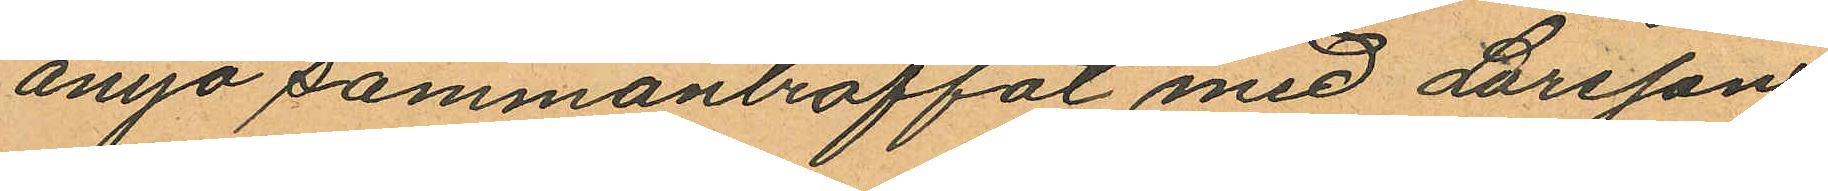ånyo sammanträffat med Larsson,
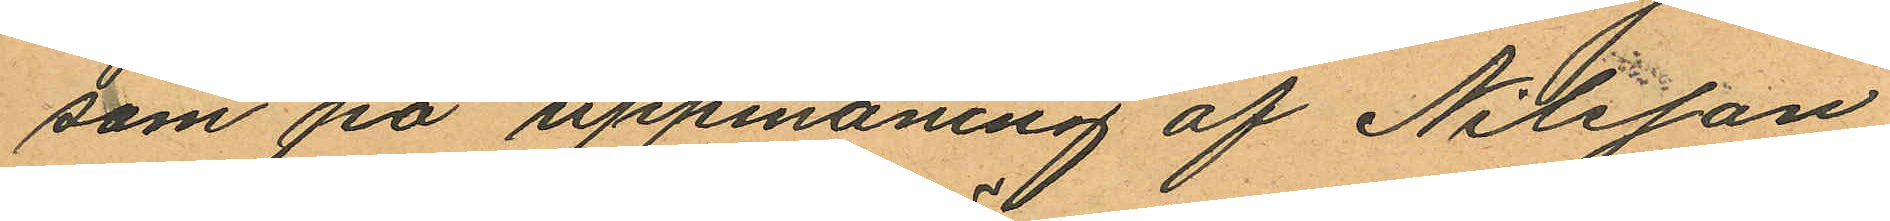som på uppmaning af Nilsson
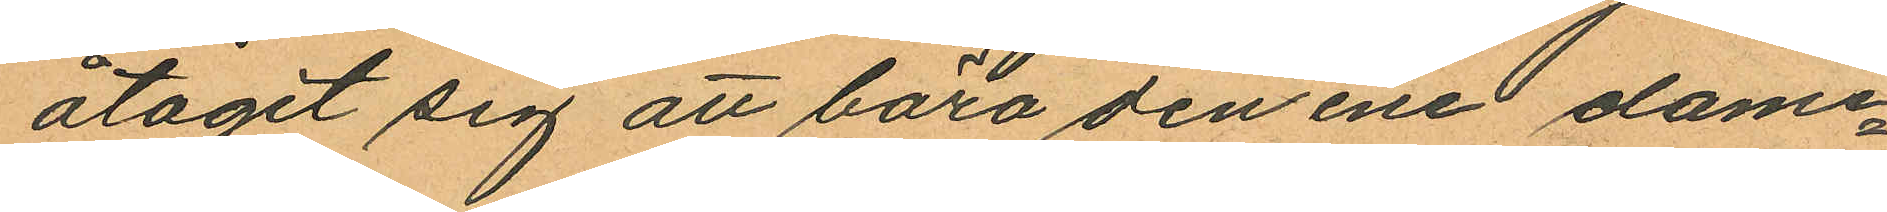åtagit sig att bära den ene dame¬
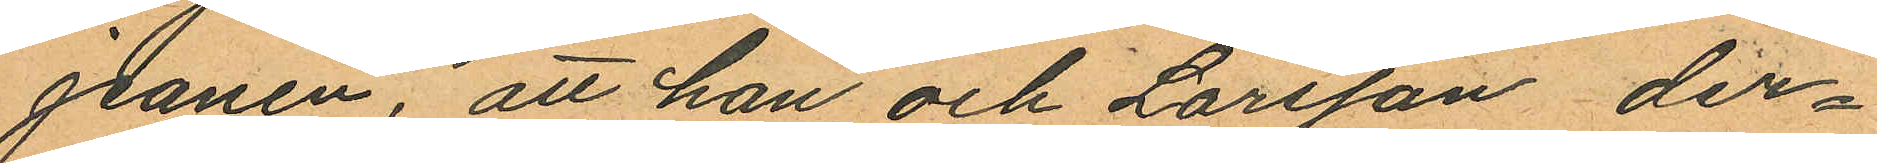jeanen; att han och Larsson der¬
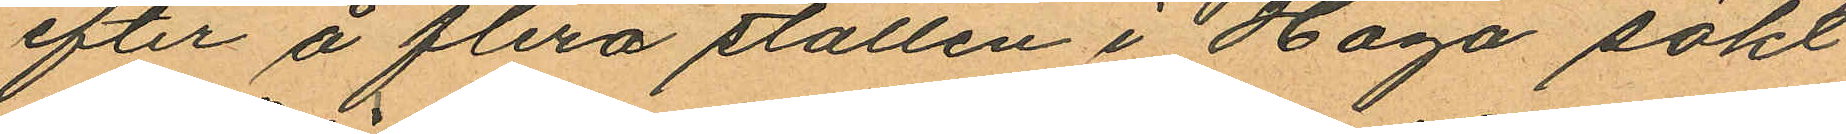efter å flera ställen i Haga sökt
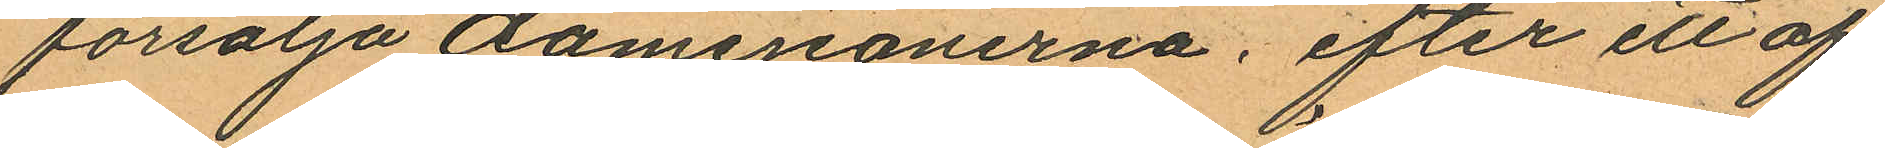försälja damejeanerna; efter ett af
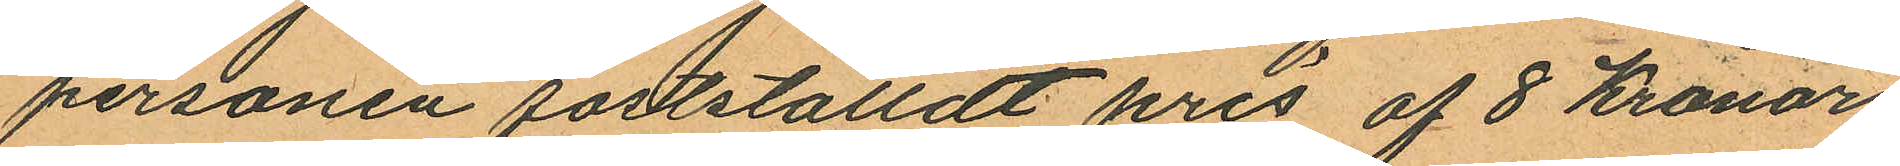personen fastställdt pris af 8 Kronor
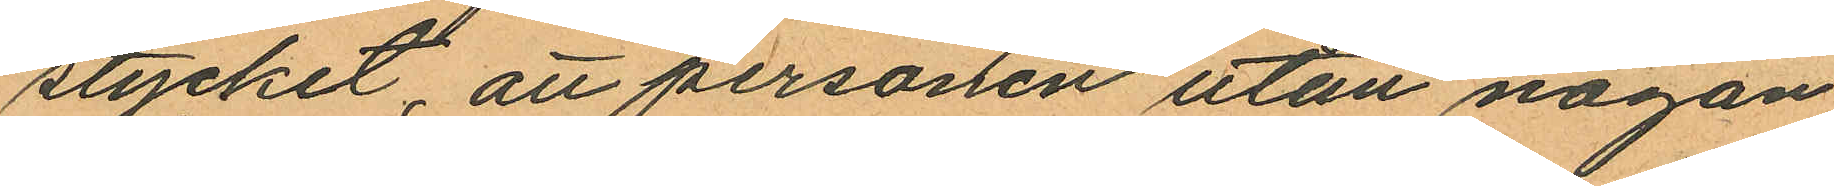stycket, att personen utan någon
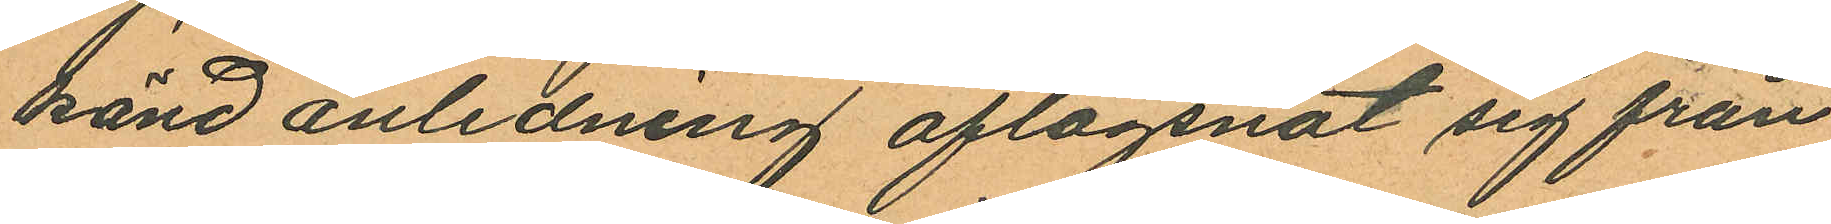känd anledning aflägsnat sig från
